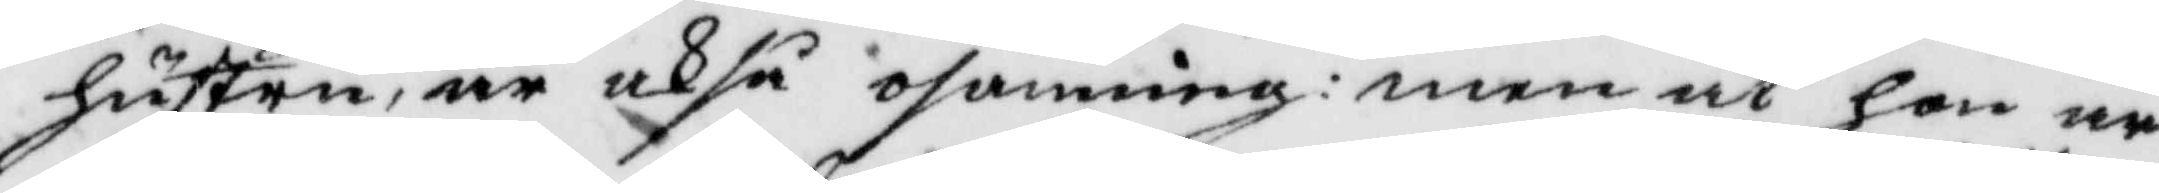hustru, är ocksp osanning: men at hon är
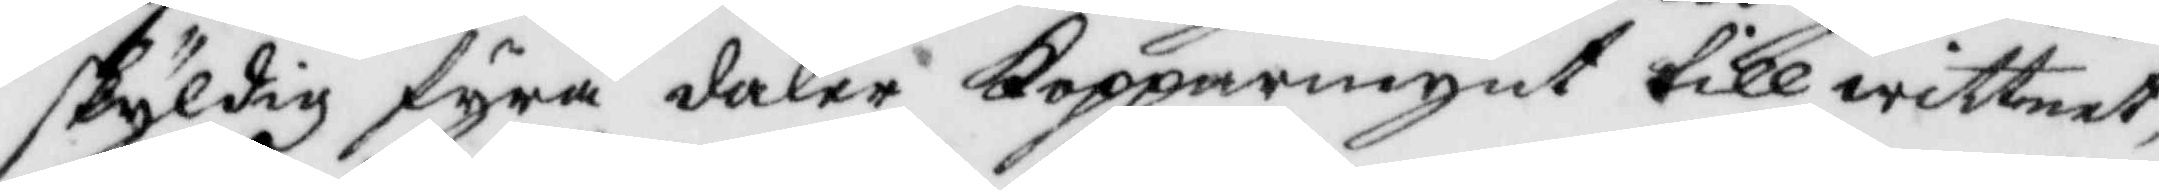skyldig fyra daler Kopparmynt till wittnet,
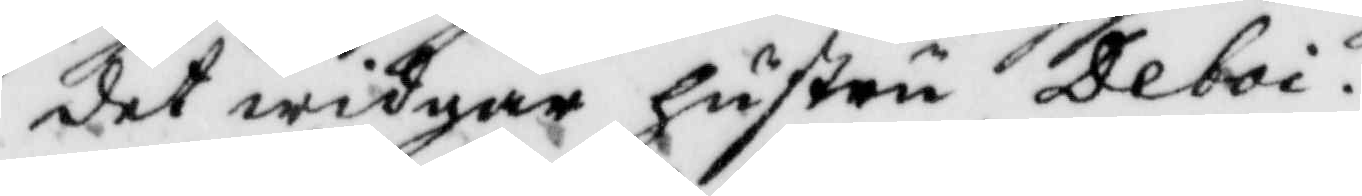det widgår hustru Deboi.
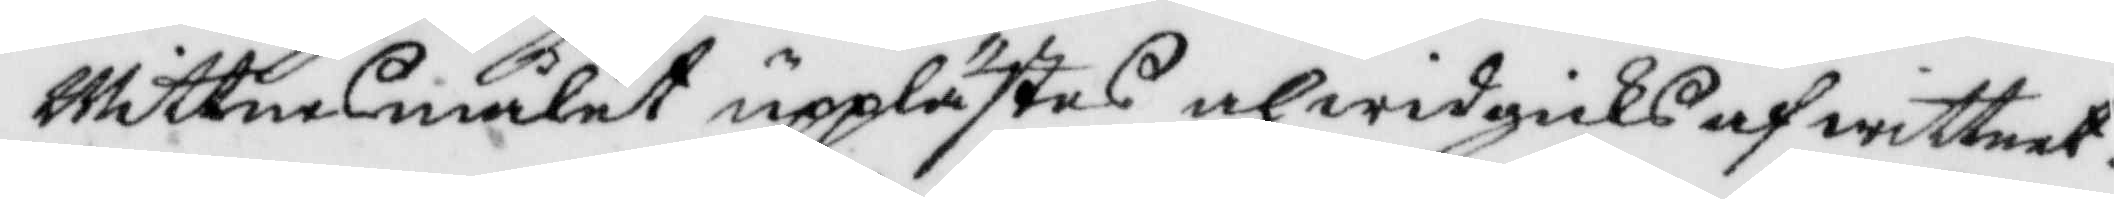Wittnesmålet upplästes och widgicks af wittnet.
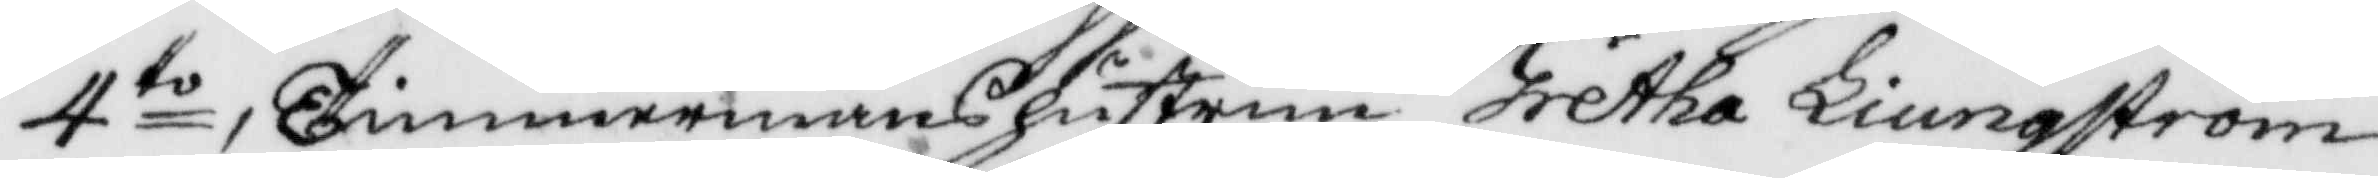4to, Timmermanshustrun Gretha Liungström
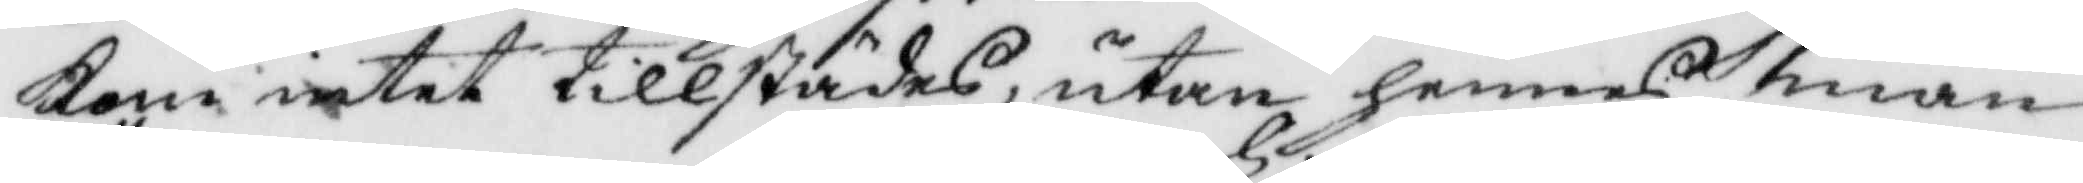kom intet tillstädes, utan hennes man
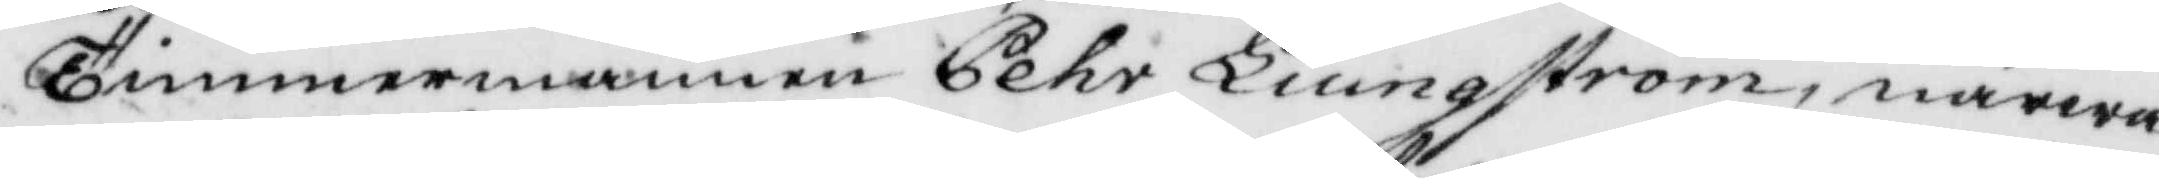Timmermannen Pehr Liungström, närwa¬
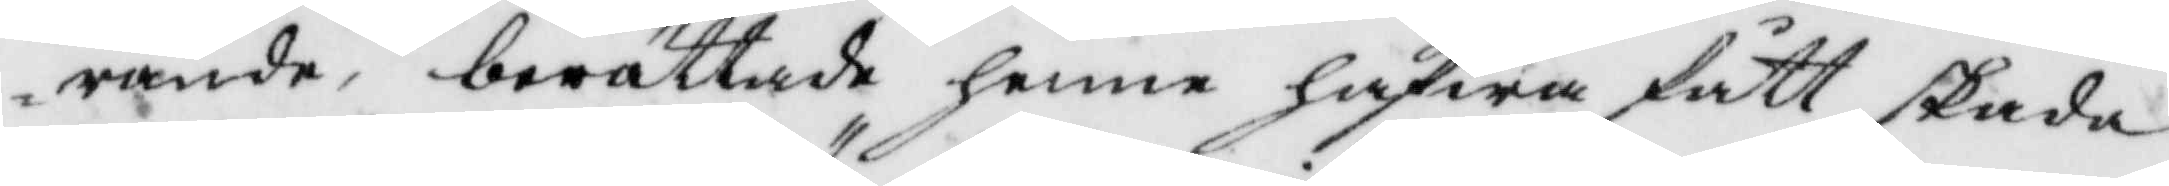rande, berättade henne hafwa fått skada
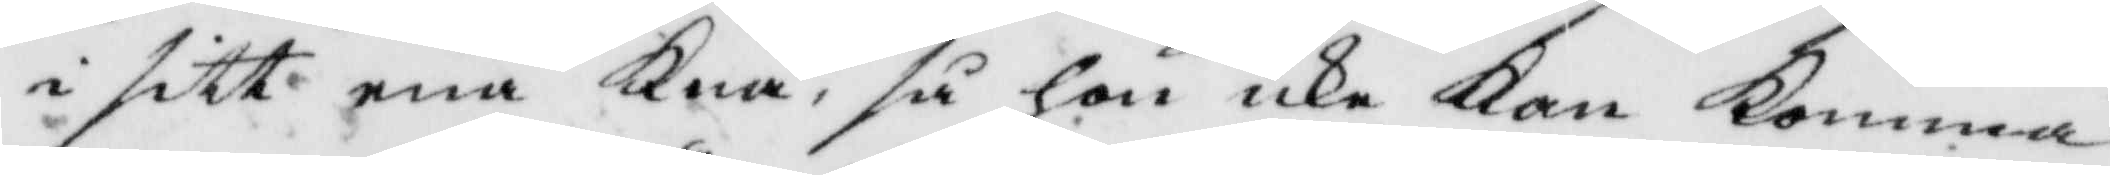i sitt ena Knä. så hon icke Kan Komma
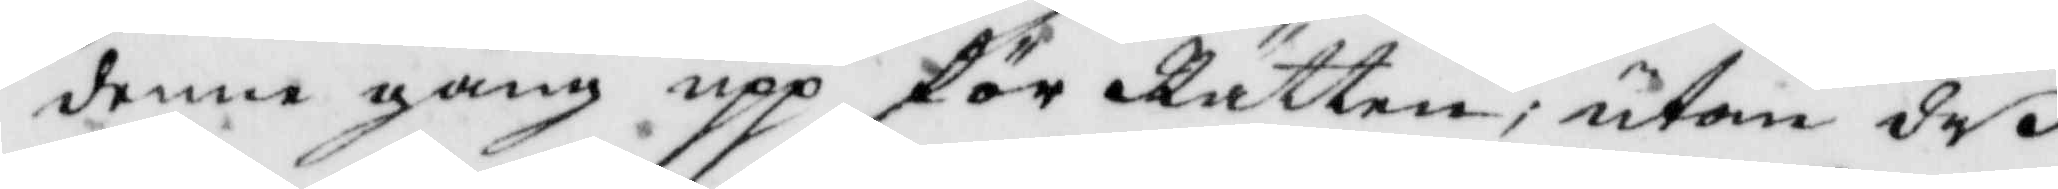denne gångupp för Rätten, utom deß
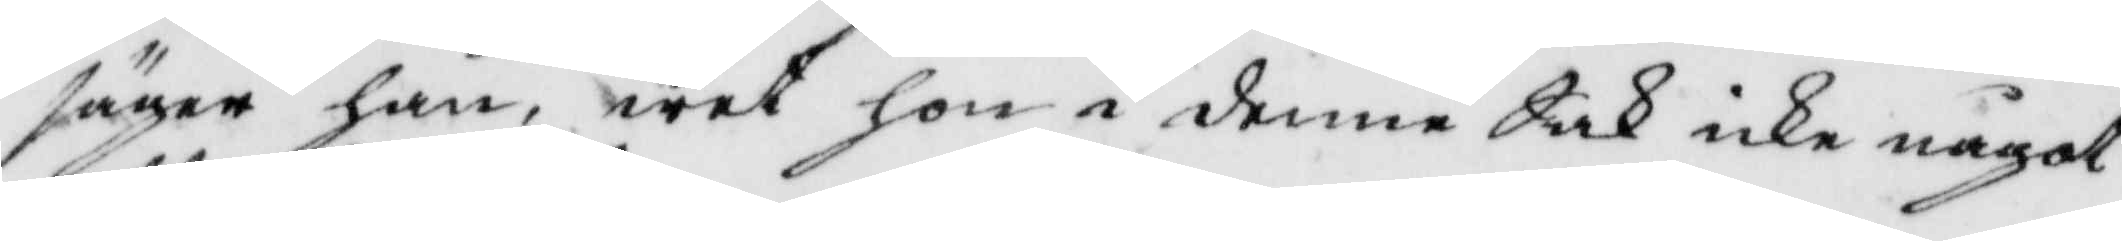säger han, wet hon i denne Sak icke något
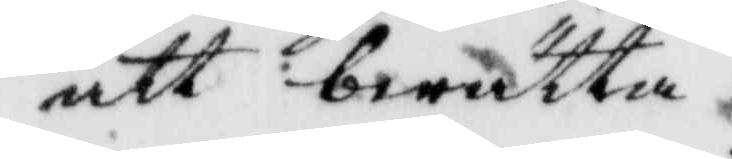att berätta.
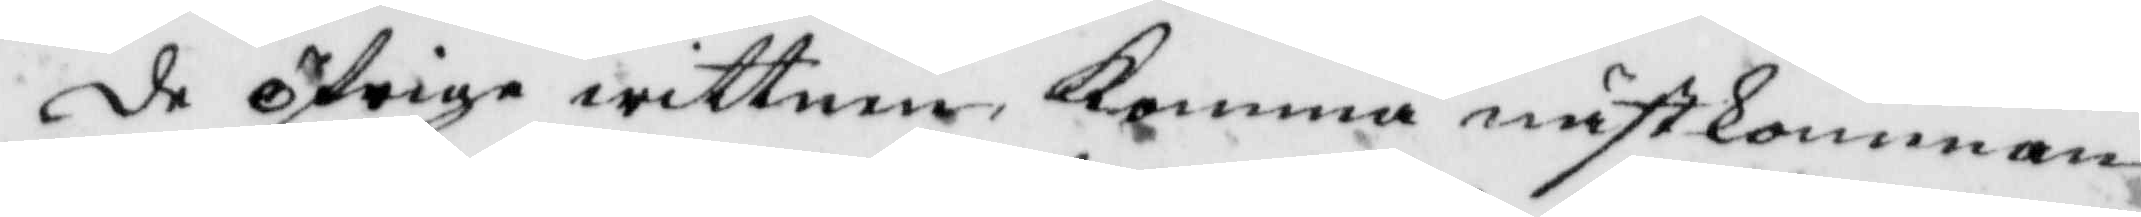de öfrige witten Komma nästkomman¬
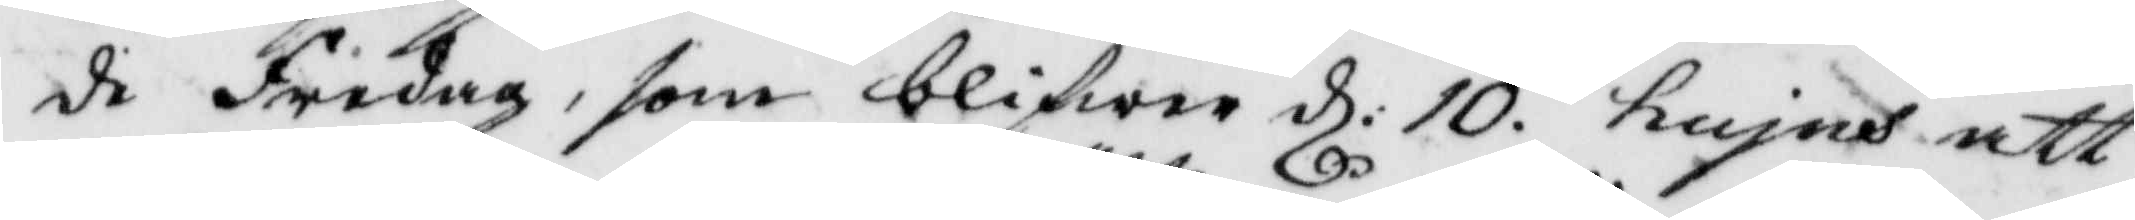de Fredag, som blifwer d: 10 hujus att
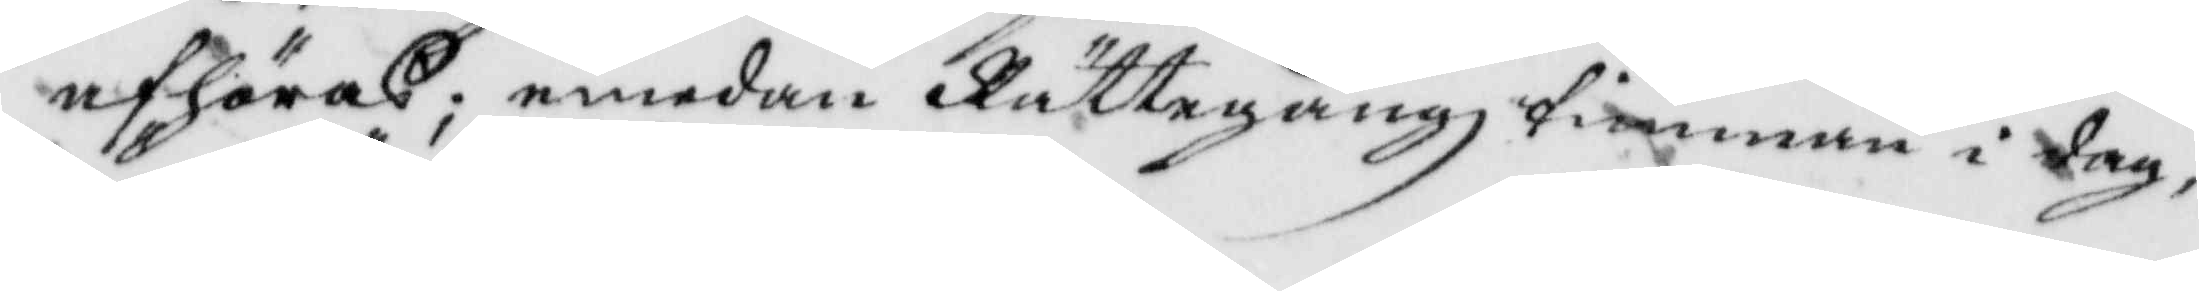afhöras; emedan Rättegångztimman i dag,
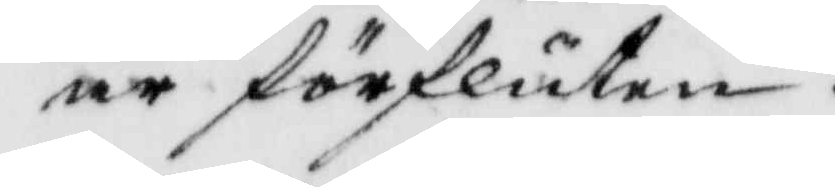är försluten.
